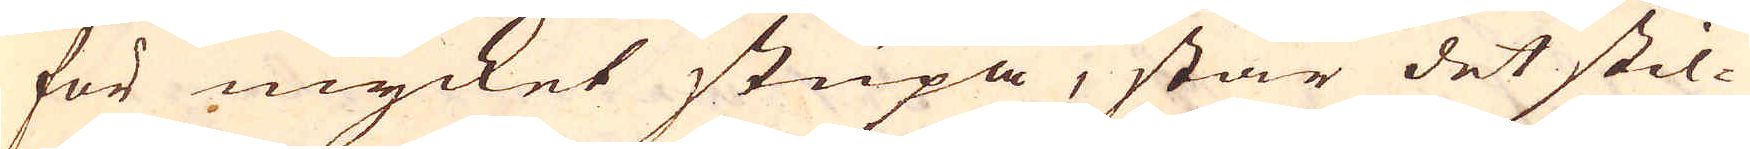för mycket stupa, står det stil-
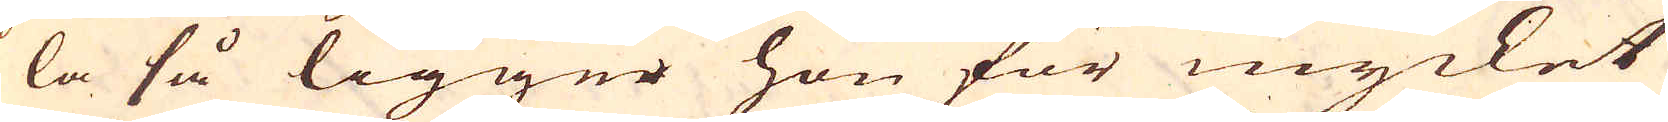la så ligger hon för mycket
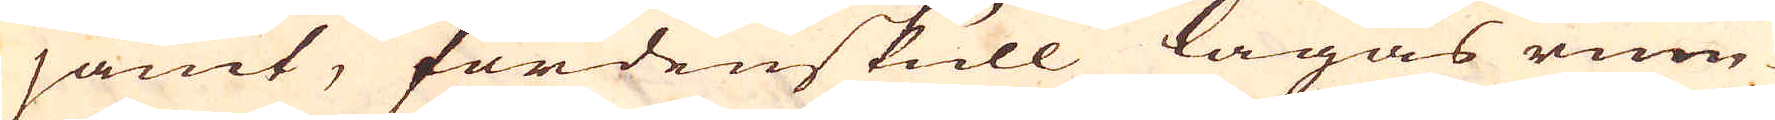jämt, fördenskull lägas rum-
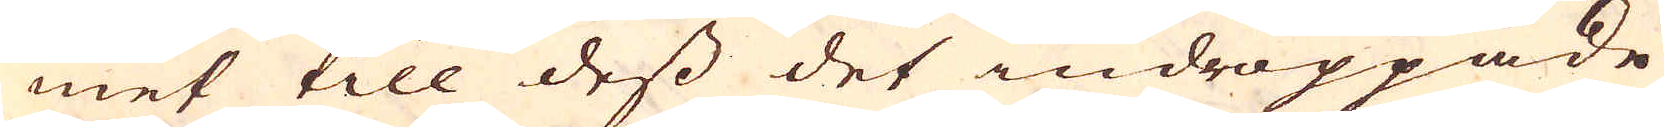met till dess det indroppade
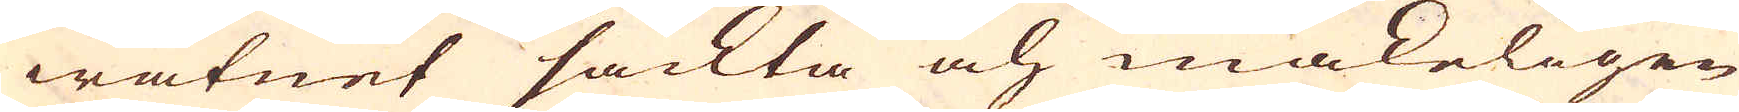watnet sackta och makeligen
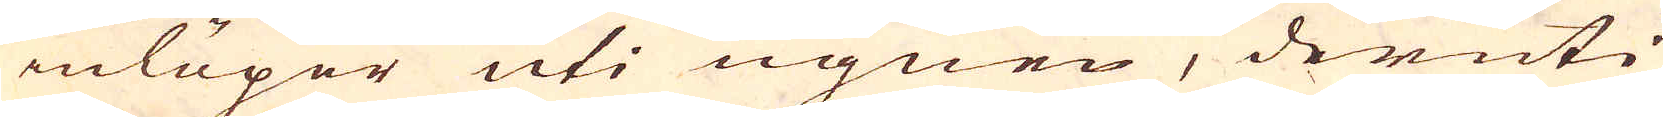inlöper uti ugnen, deruti
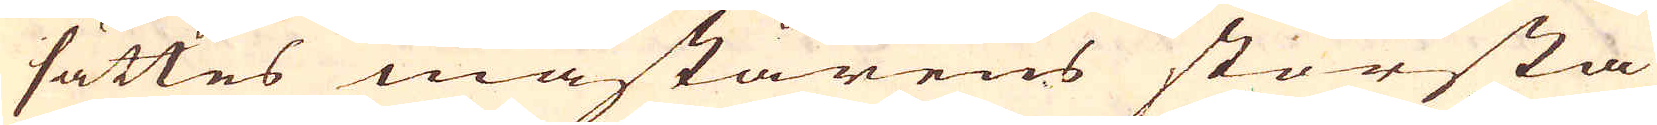sättes mästarens största
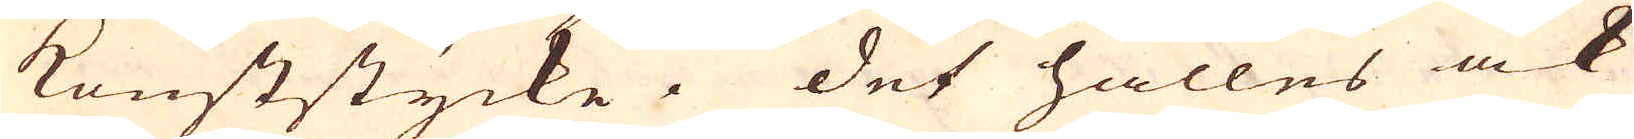konststycke. Det hålles ock
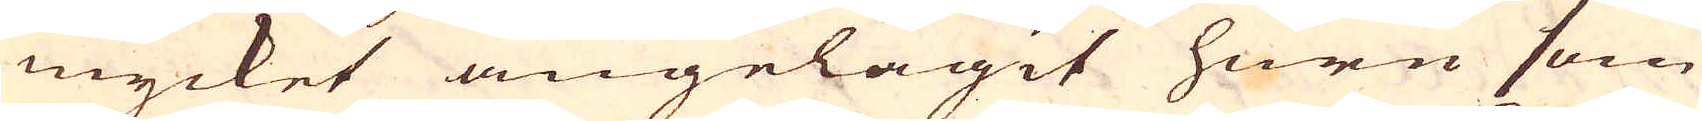mycket angelägit huru som
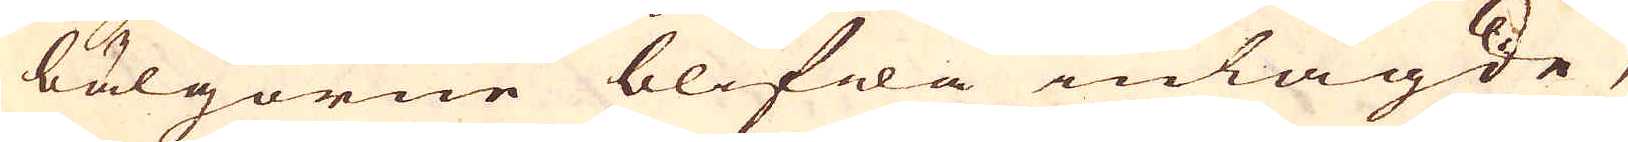bälgorne blifwa inlagde,
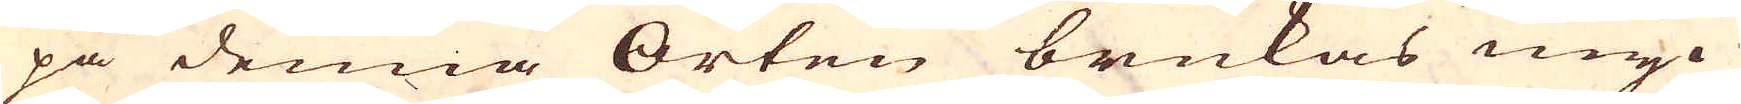på denna Orten brukas myc-
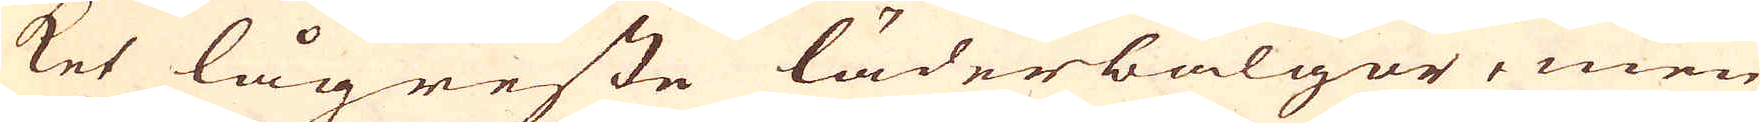ket lågreste läderbälgor, men
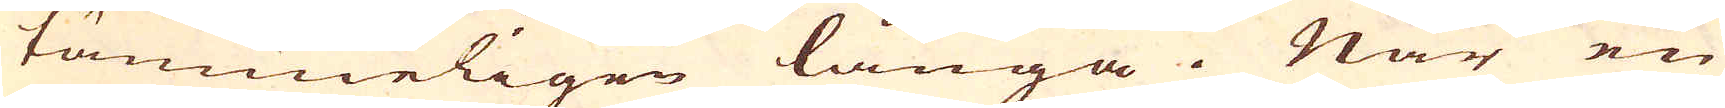tämmeligen långa. När en
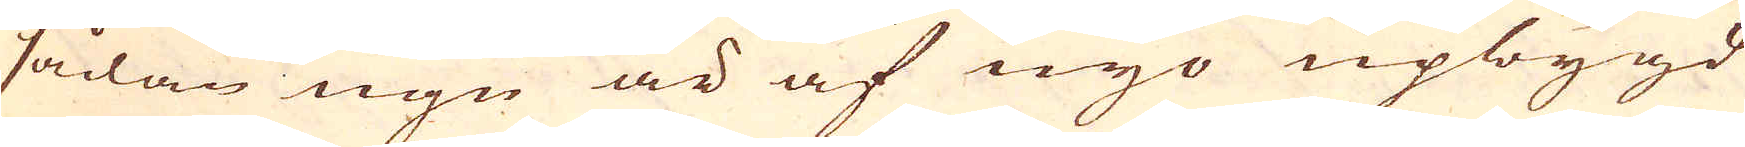sådan ugn är af nyo upbygd
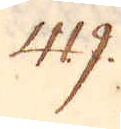419.
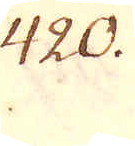420.
